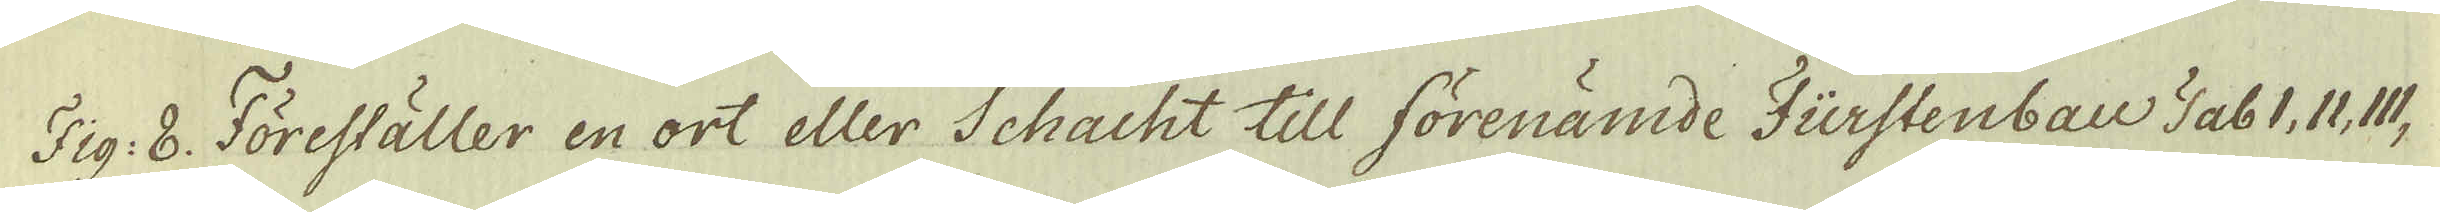Fig: 8. Föreställer en ort eller Schacht till förenämde Fürstenbau TabI, II, III,
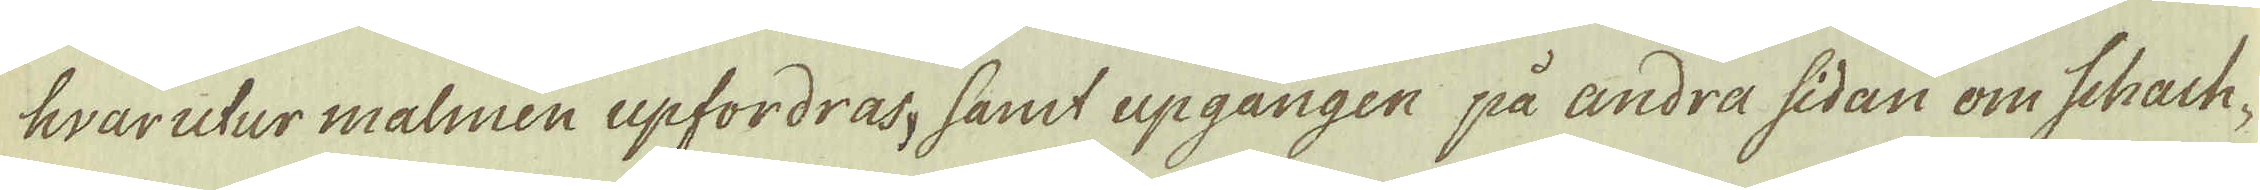hvarutur malmen upfordras, samt upgången på andra sidan om Schach-
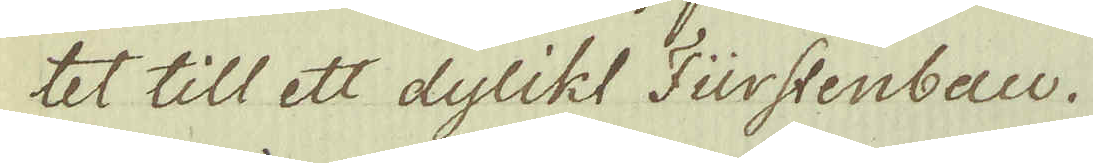tet till ett dylikt Fürstenbau.
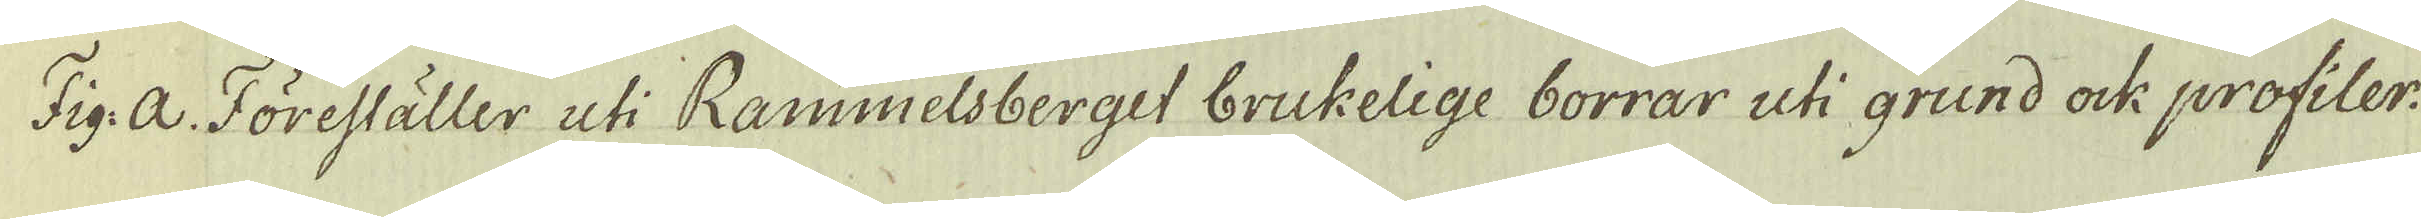Fig: a. Föreställer uti Rammelsberget brukelige borrar uti grund ock profiler:
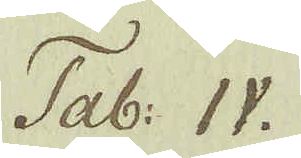Tab: IV.
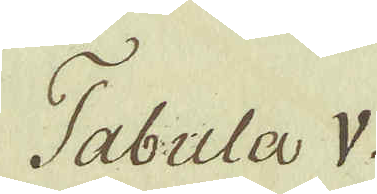Tabula V.
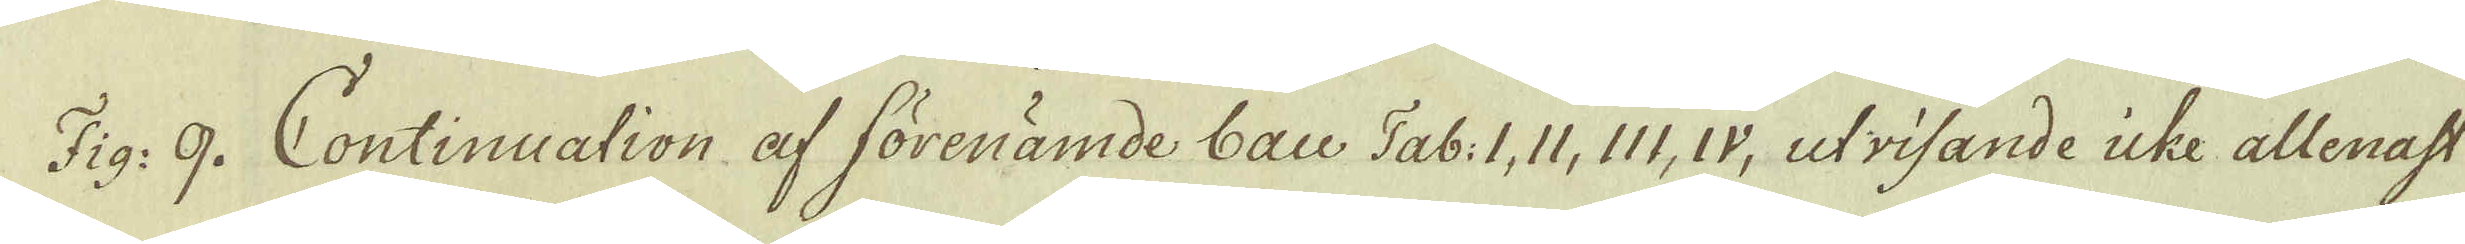Fig: 9. Continuation af förenämde bau Tab: I, II, III, IV, utrisande icke allenast
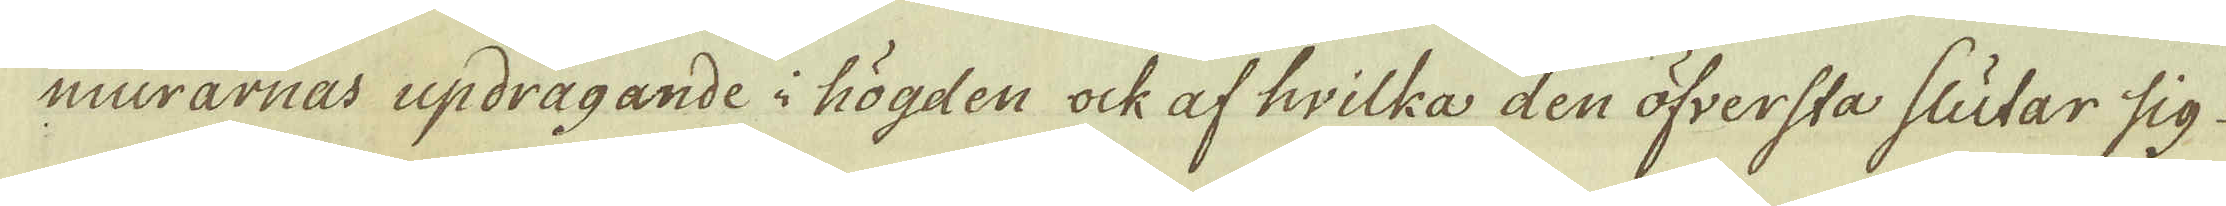murarnas updragande i högden ock af hvilka den öfversta slutar sig
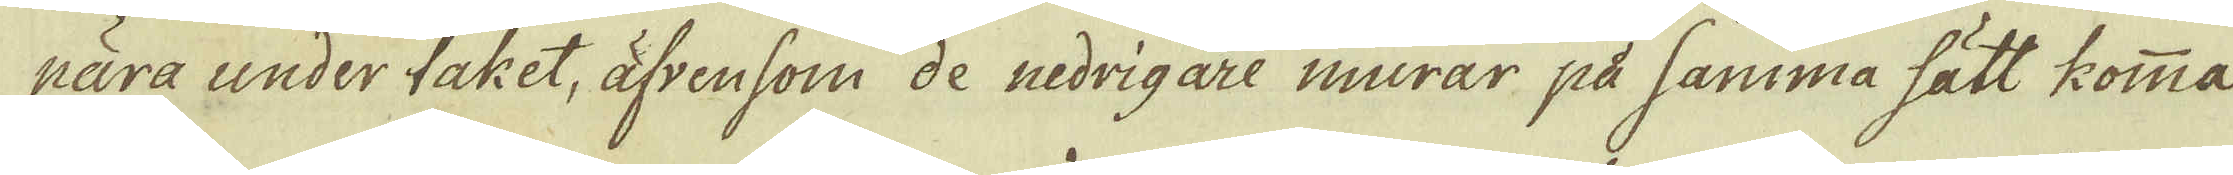nära under taket, äfvensom de nedrigare murar på samma sätt komma
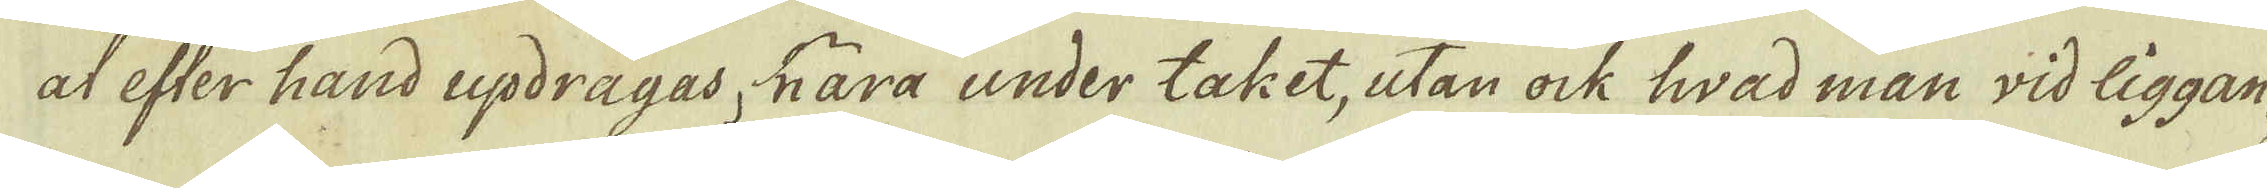at efter hand updragas, hära under taket, utan ock hwad man wid liggan-
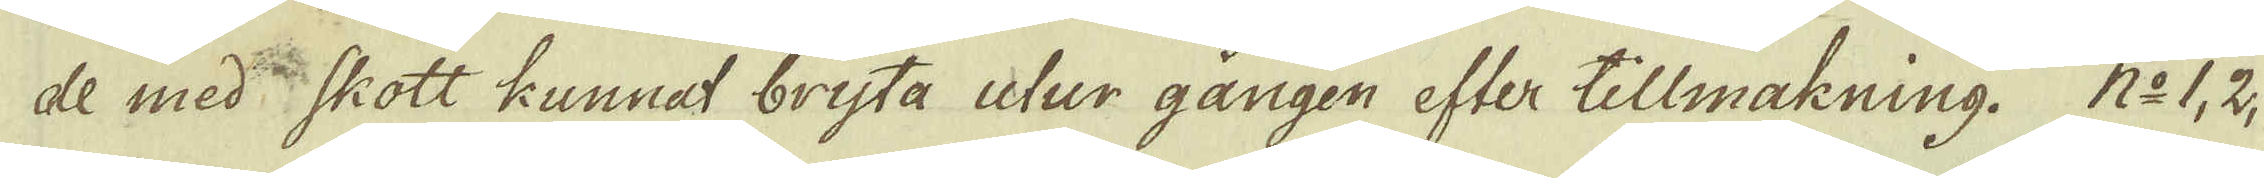de med:ne Skott kunnat brysta utur gången efter tillmakning. N:o 1, 2,
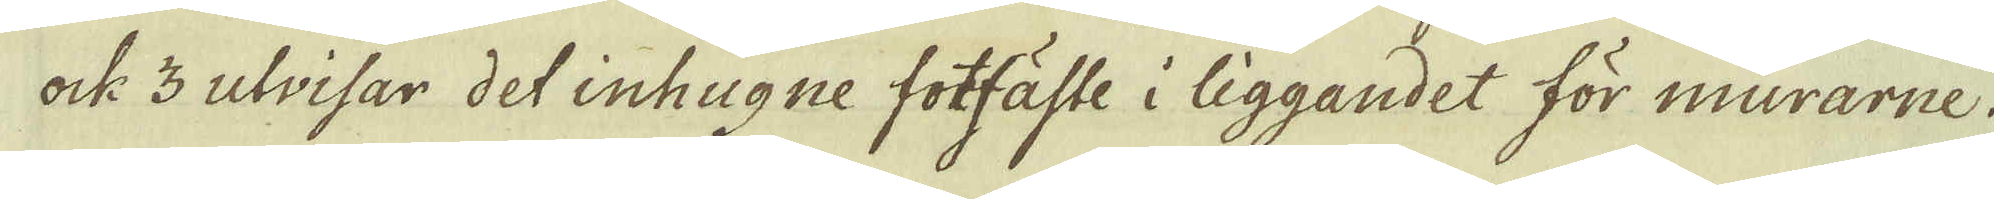ock 3 utvisar det inhugne fotfäste i liggandet för murarne.
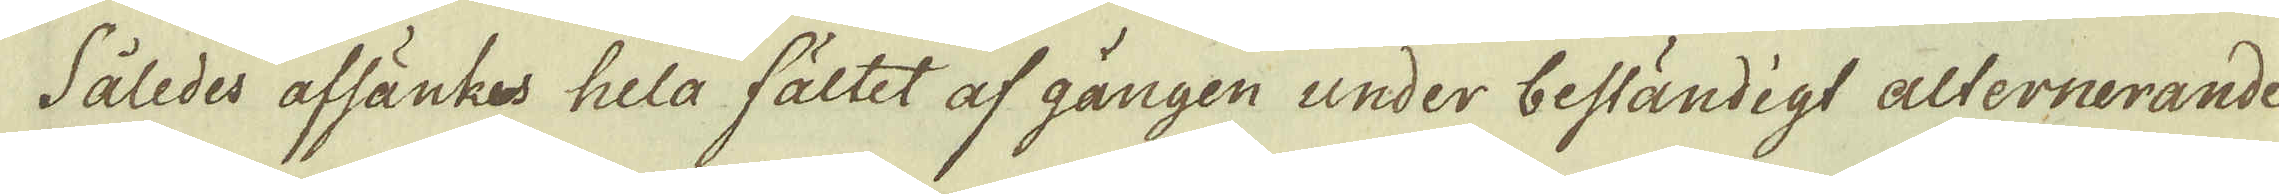Således afsänkes hela fältet af gången under beständigt alternerande
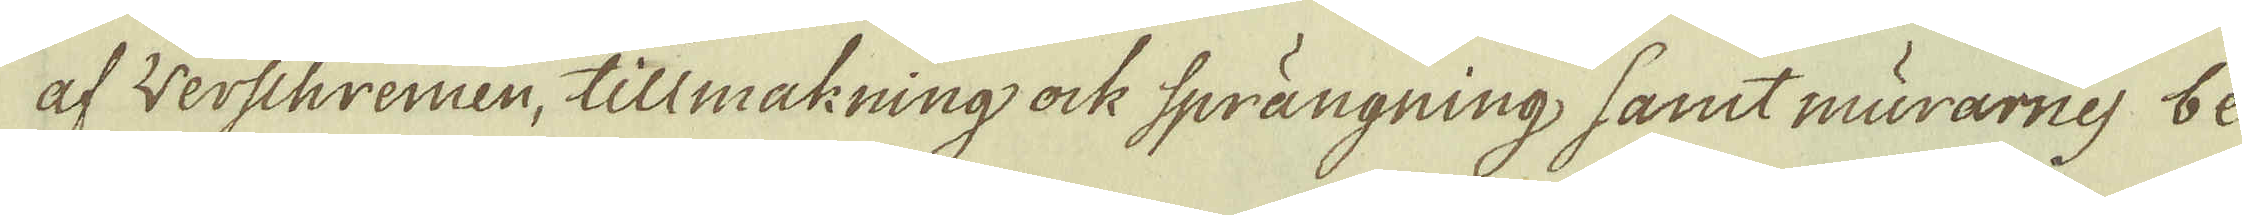af Werschremen, tillmakning ock sprängning, samt murarnes be-
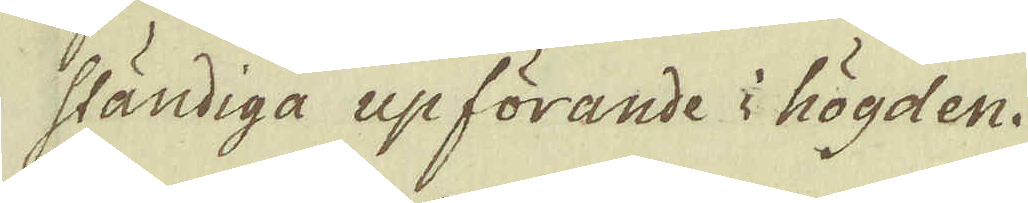ständiga upförande i högden.
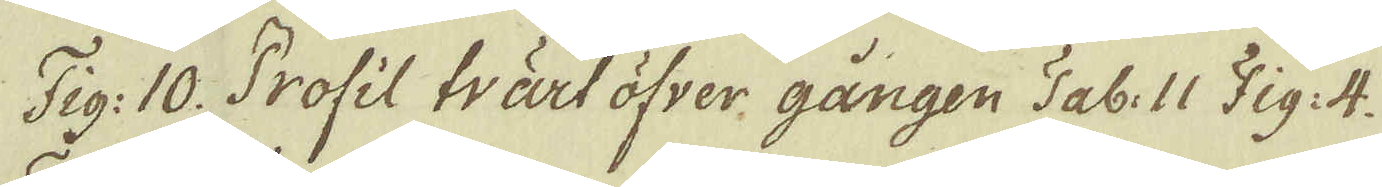Fig: 10. Profil tvärt öfver gången Tab: II Fig: 4.
